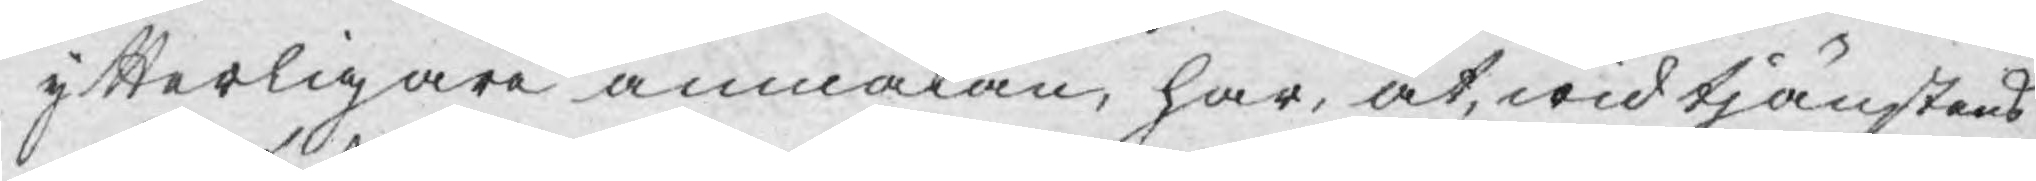ytterligare anmälan, har, at, wid tjänstens
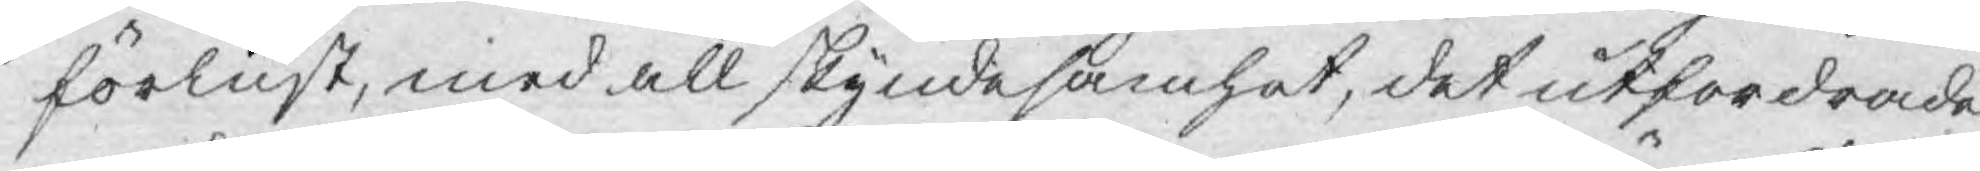förlust, med all skyndesamhet, det utfordrade
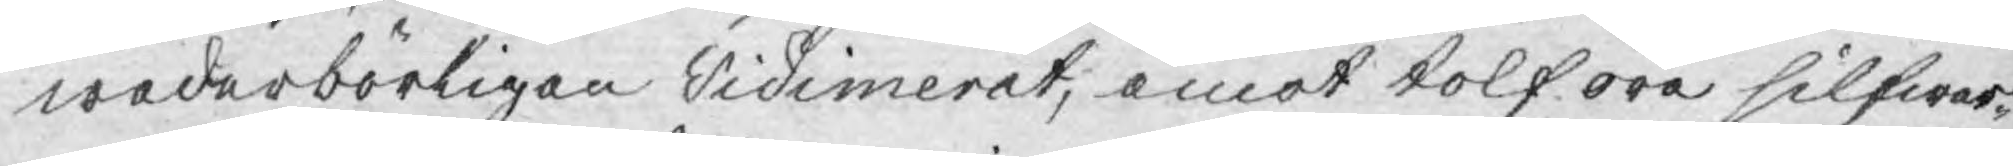wederbörligen vidimerat; emot tolf öre silfwer¬
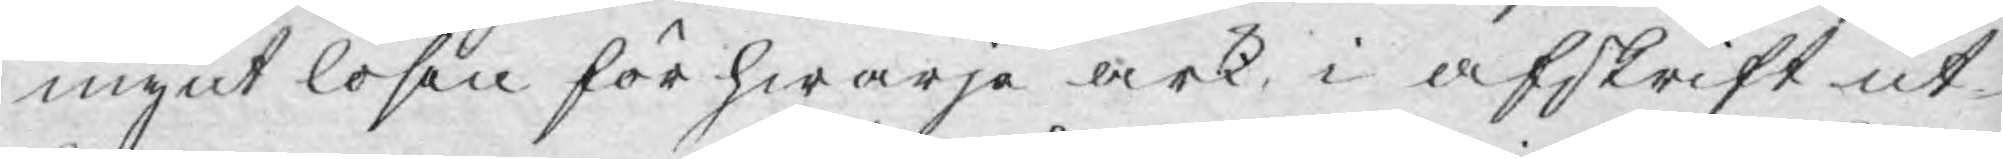mynt lösen för hwarje ark, i afskrift ut¬
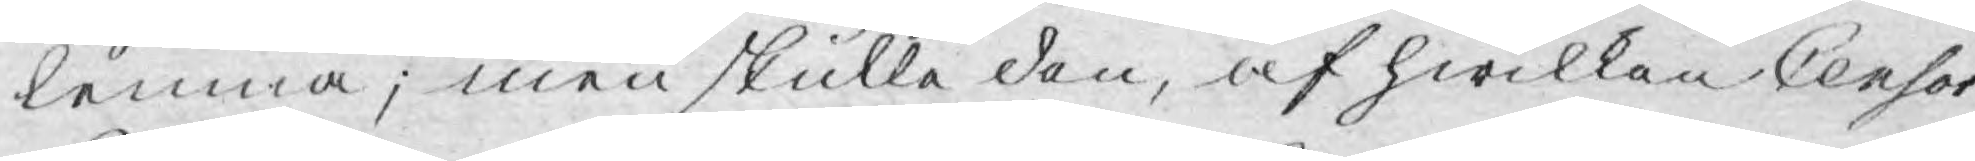lemna; men skulle den, af hwilken Censor
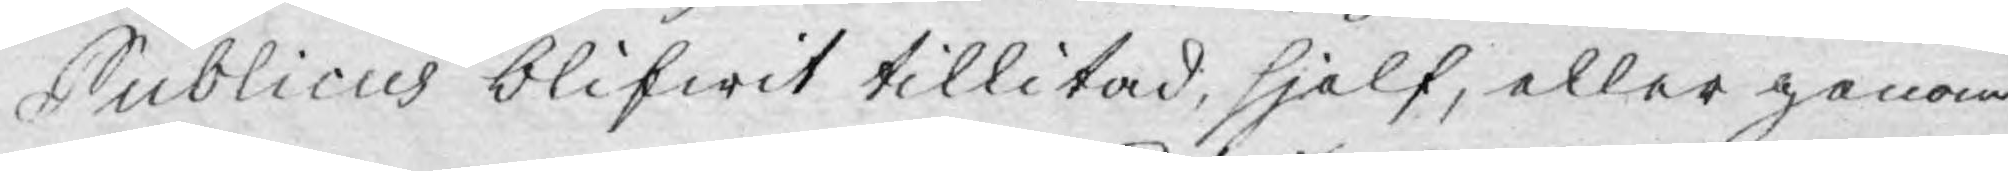Publicus blifwit tillitad, sjelf, eller genom
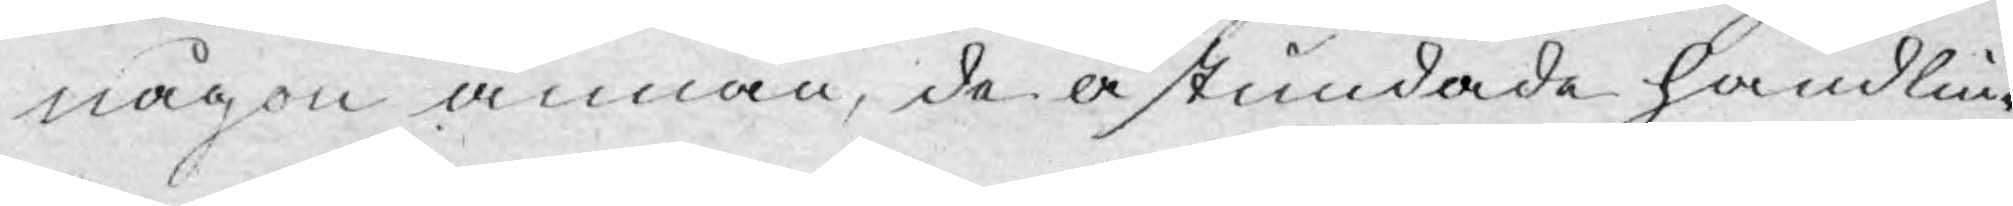någon annan, de åstundade handlin¬
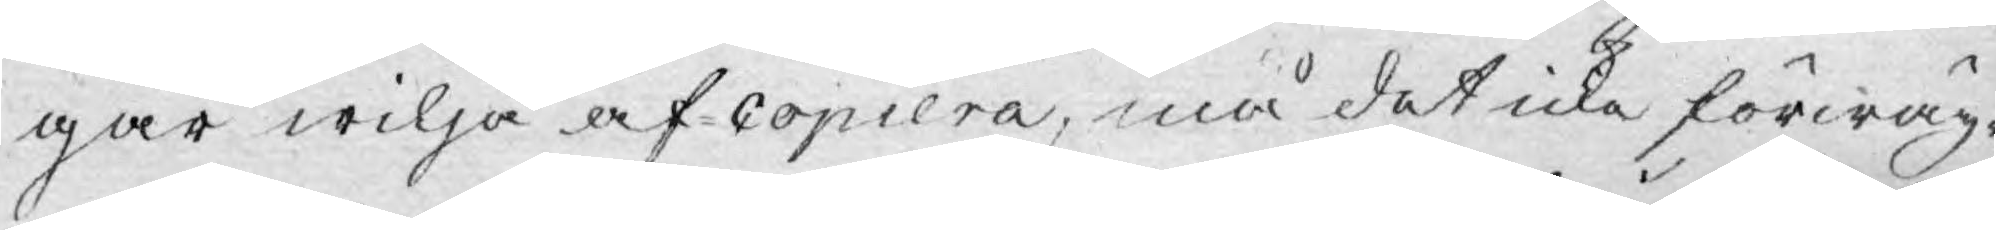gar wilja af-copiera, må det icke förwäg¬
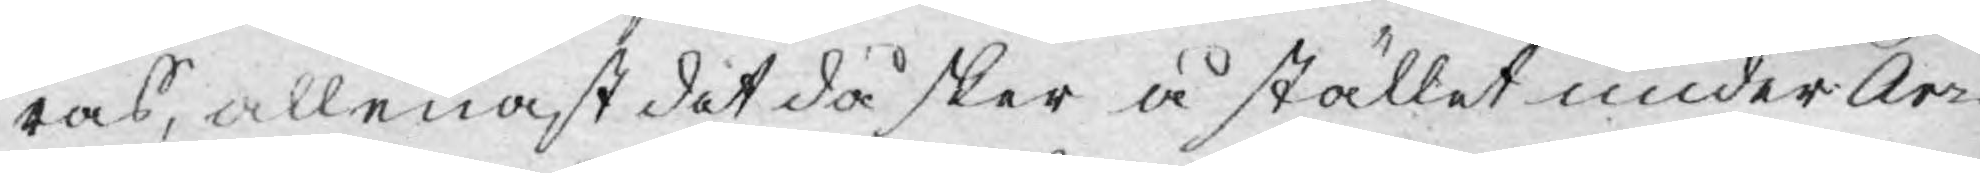ras, allenast det då sker å stället under Ar¬
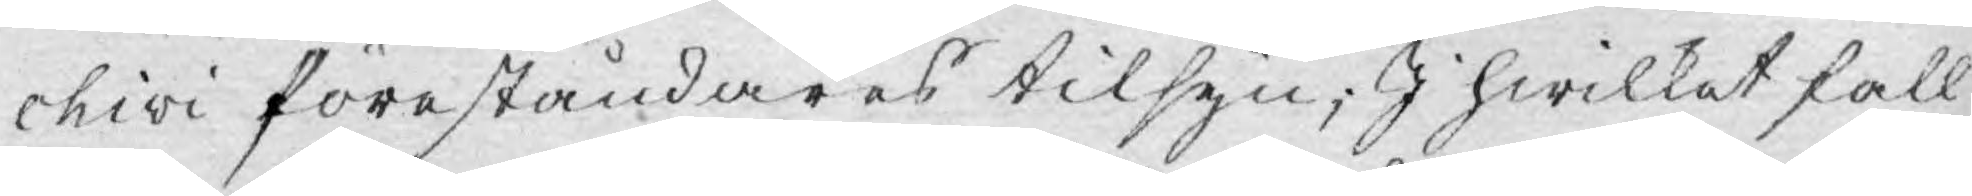chivi föreståndares tilsyn; I hwilket fall
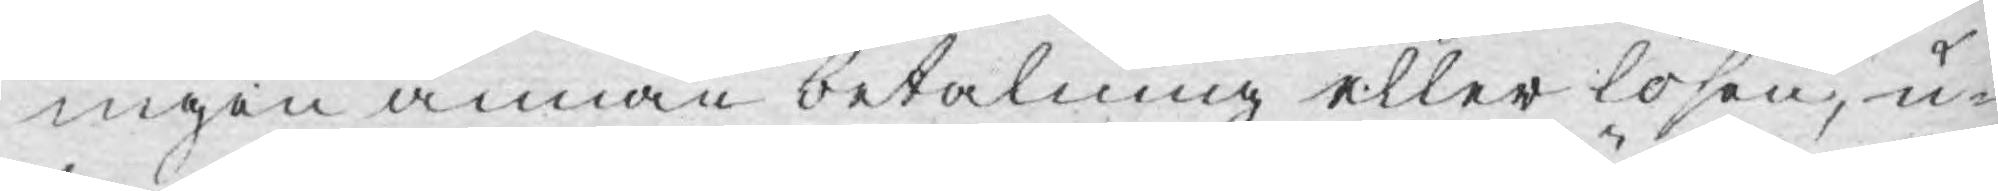ingen annan betalning eller lösen, u¬
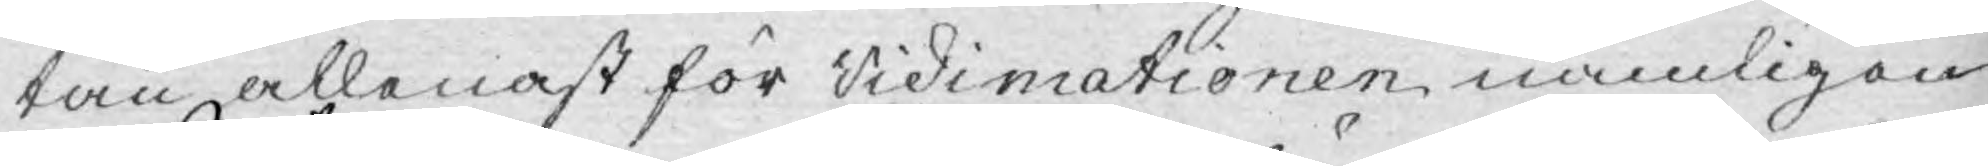tan allenast för vidimationen nämligen
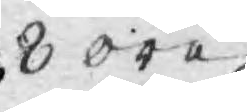8 öre.
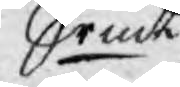Srmt
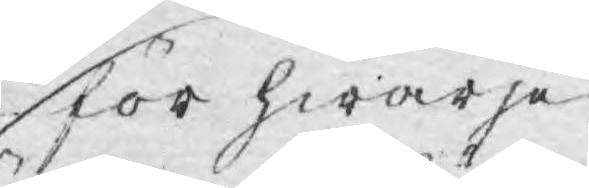För hwarje
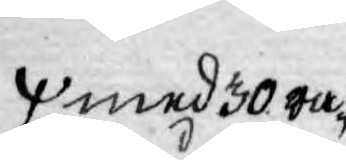med 30 ra¬
